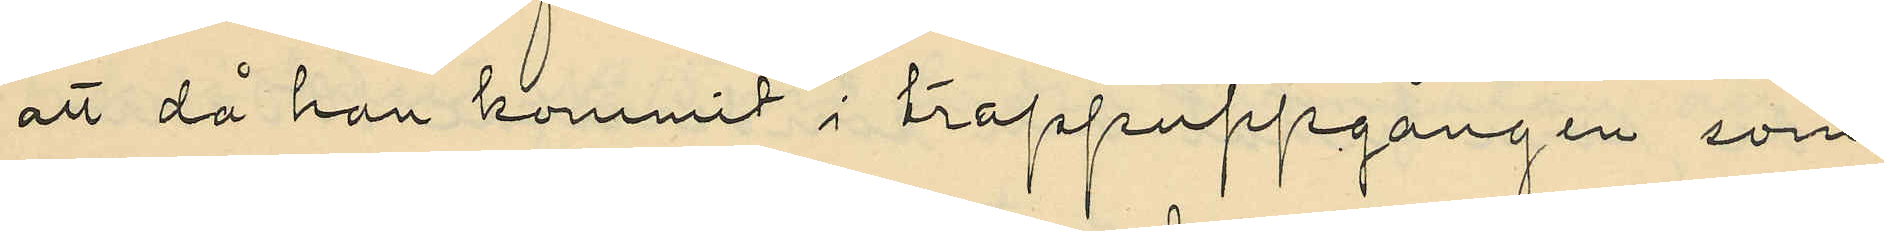att då han kommit i trappuppgången som
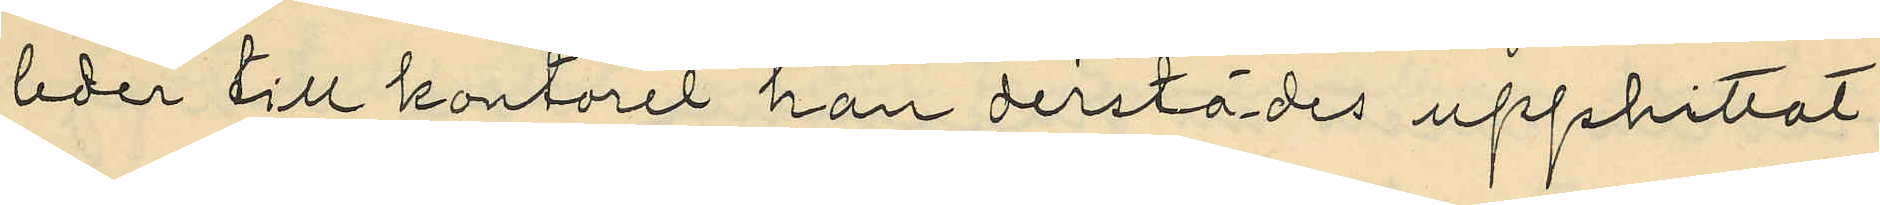leder till kontoret han derstädes upphittat
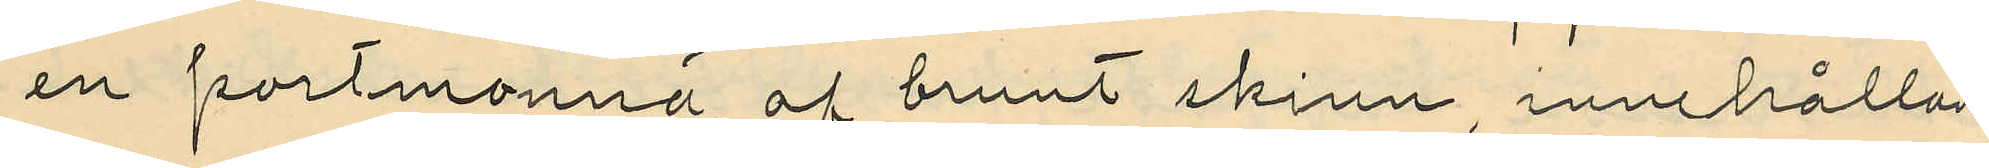en portmonnä af brunt skinn innehållan¬
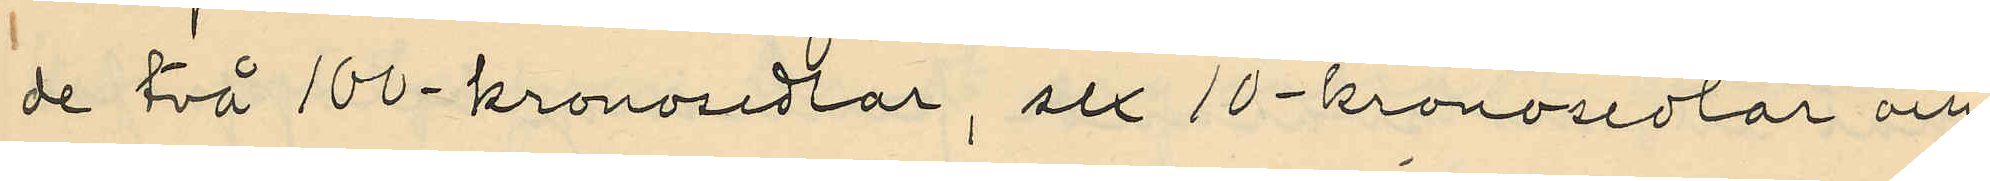de två 100-kronosedlar, sex 10-kronosedlar och
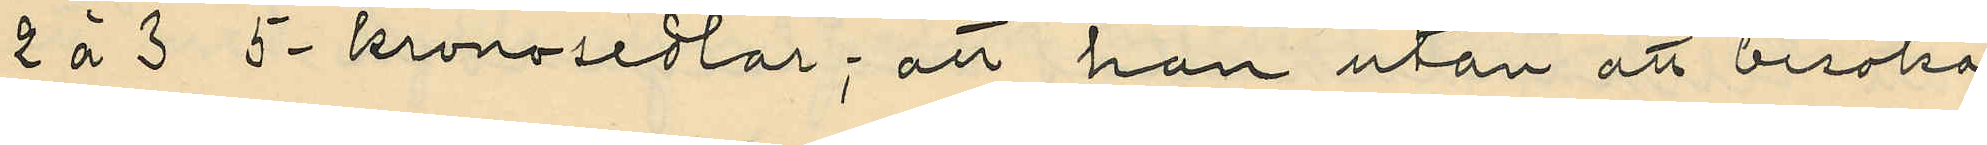2 á 3 5-kronosedlar; att han utan att besöka
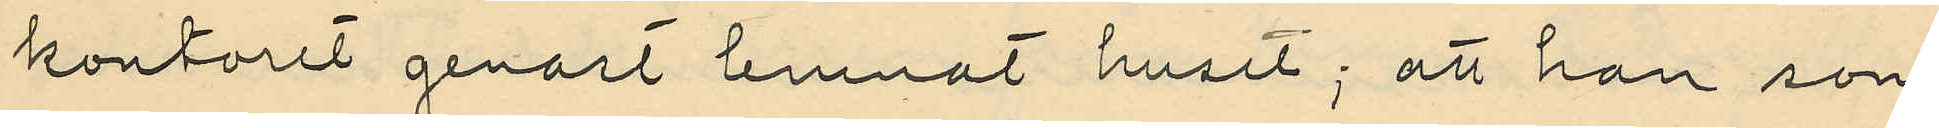kontoret genast lemnat huset; att han som
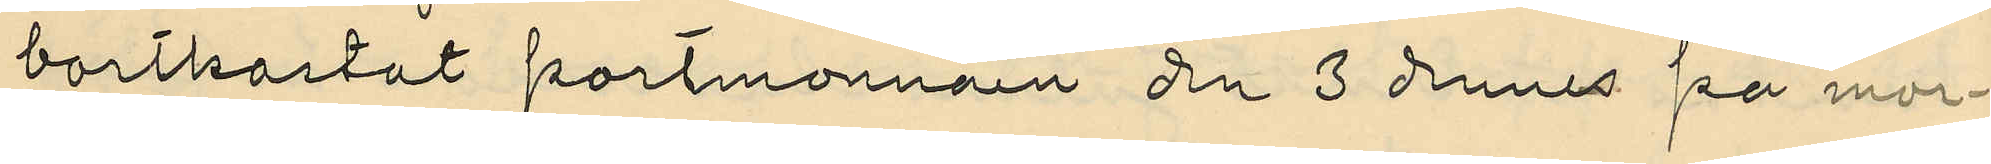bortkastat portmonnäen den 3 dennes på mor¬
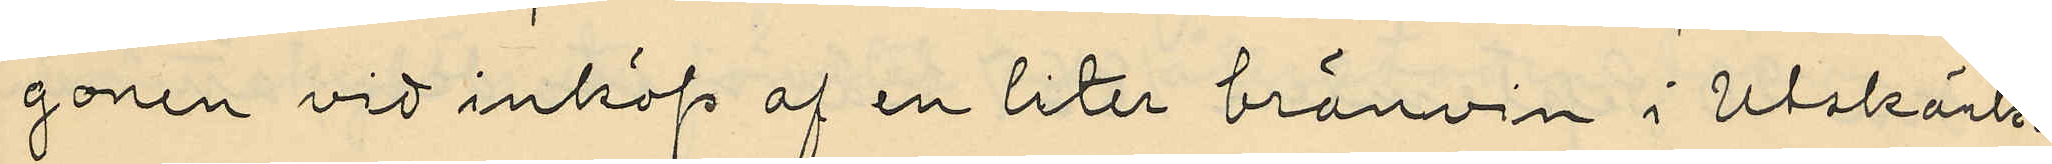gonen vid inköp af en liter bränvin i Utskänk¬
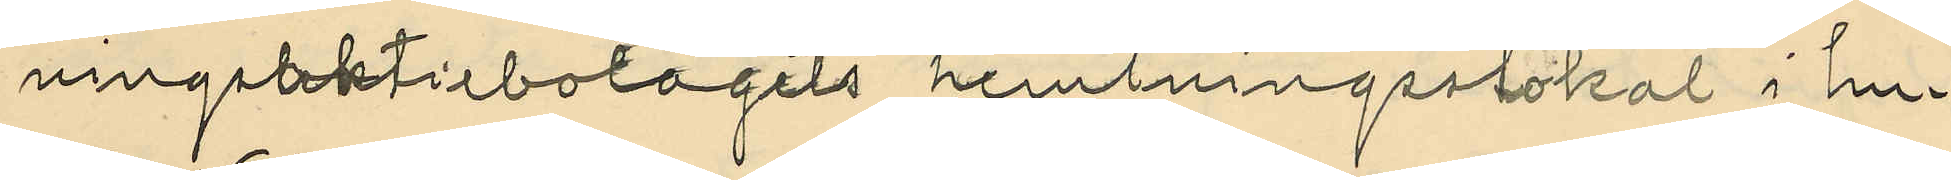ningsaktiebolagets hemtningsslokal i hu¬
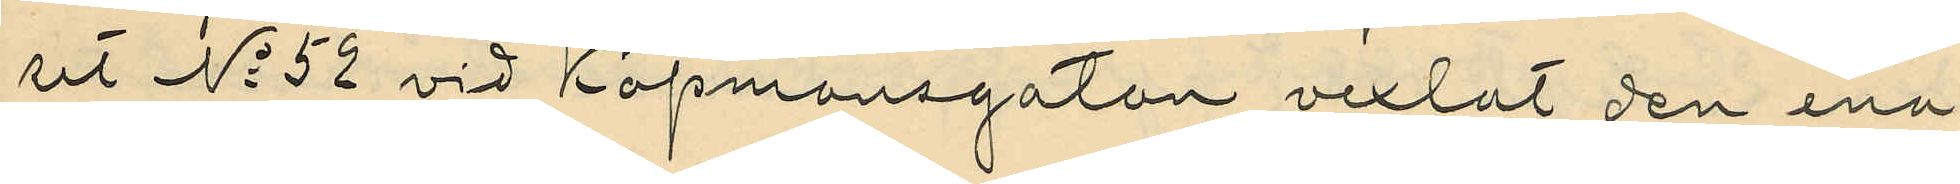ut No 52 vid Köpmansgatan vexlat den ena
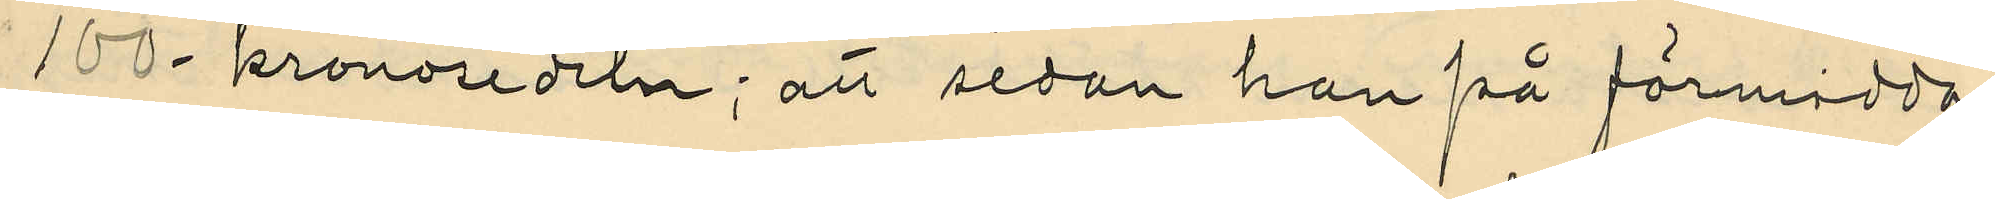100-kronosedeln; att sedan han på förmidda¬
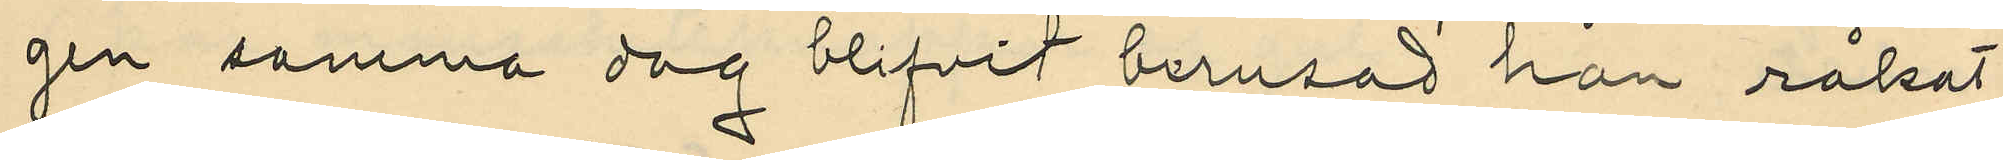gen samma dag blifvit berusad han råkat
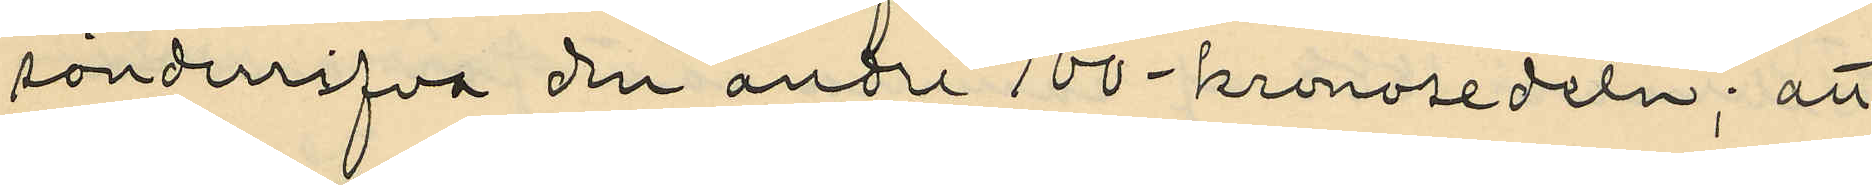sönderrifva den andra 100-kronosedeln; att
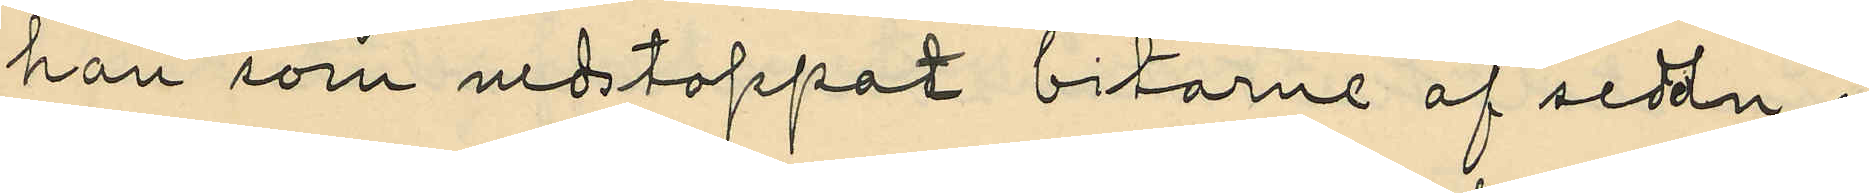han som nedstoppat bitarne af sedeln i
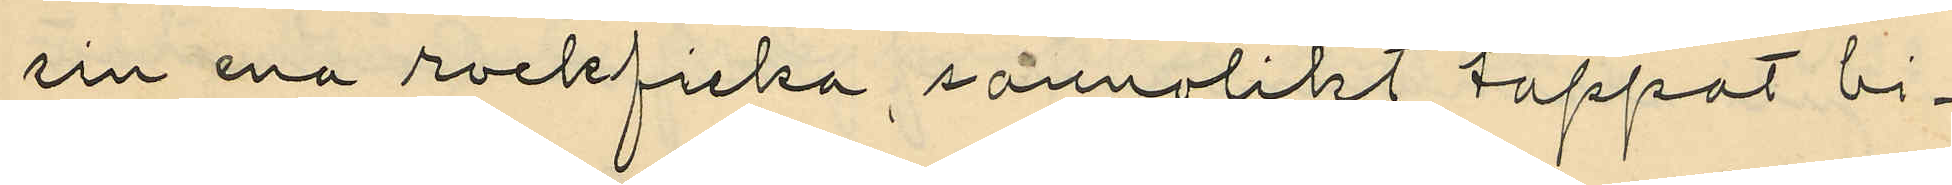sin ena rockficka, sannolikt tappat bi¬
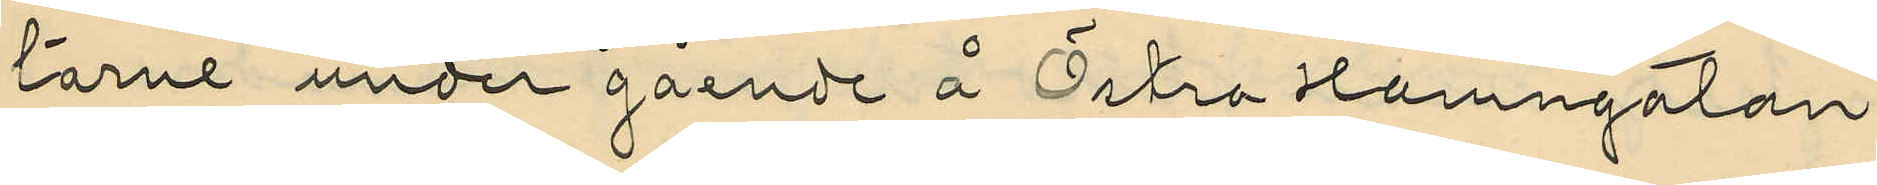tarne under gående å Östra Hamngatan
